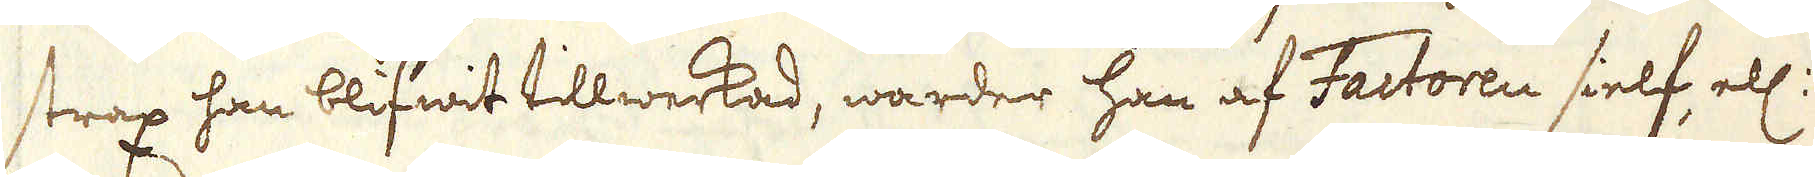strax han blifwit tillwerkad, warder han af Factoren sielf, ell:
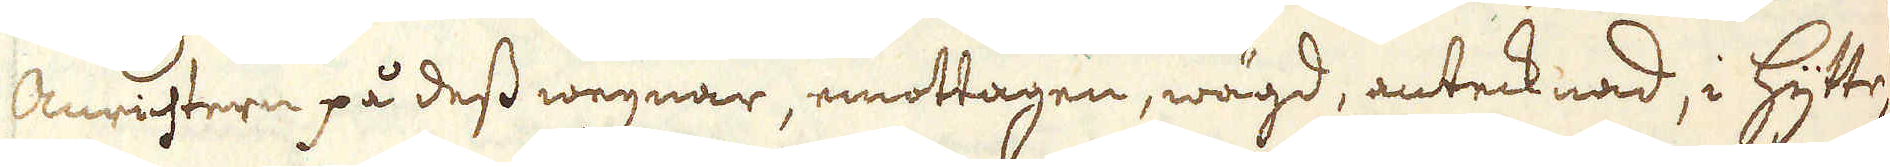Anrichtern på dess wegnar, emottagen, wägd, antecknad, i hytte-
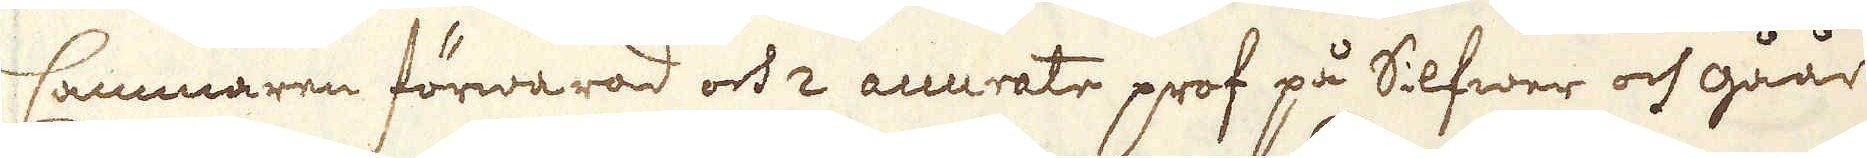Cammaren förwarad och 2 accurate prof på Silfwer och gåår
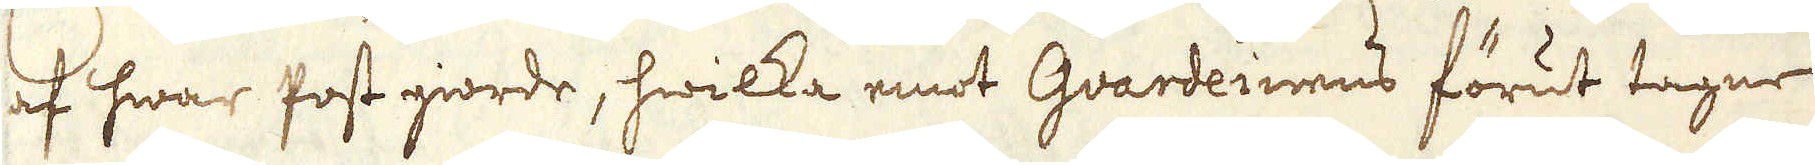af hwar post giorde, hwilka emot Guardeinens förut tagne
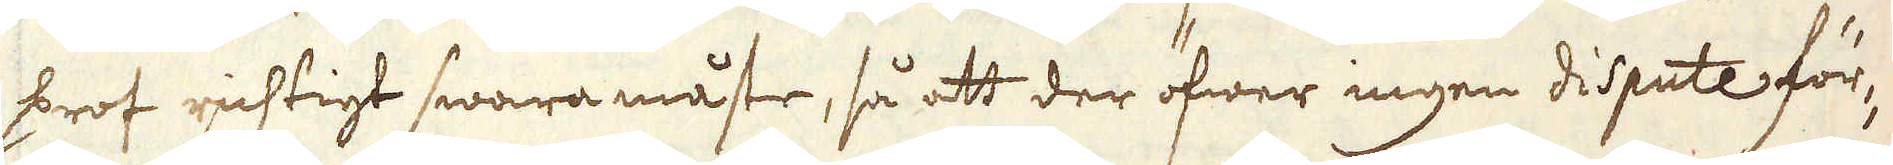prof richtigt swara måste, så att der öfwer ingen dispute för-
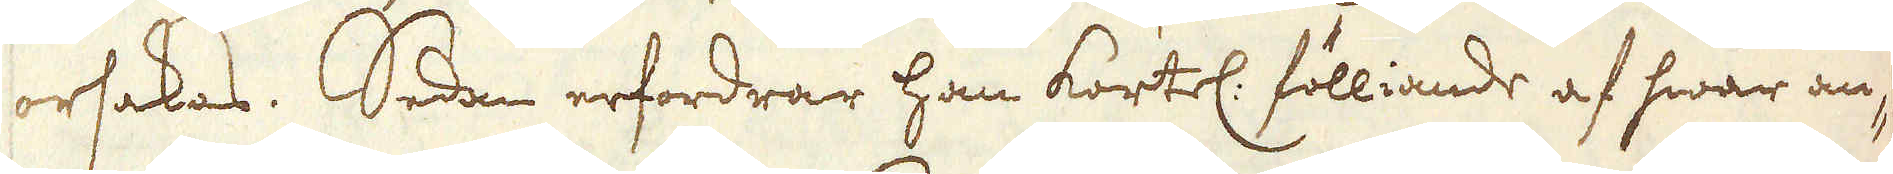orsakas. Sedan erfordrar han kortel: fölliande af hwar an-
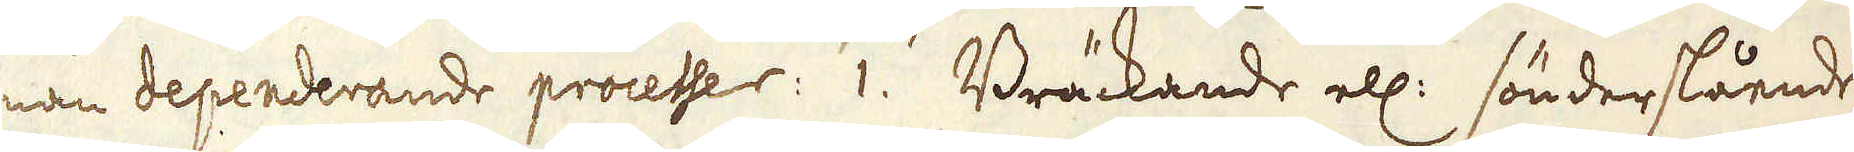nan dependerande processer: 1. Bräckande ell: sönderslående;
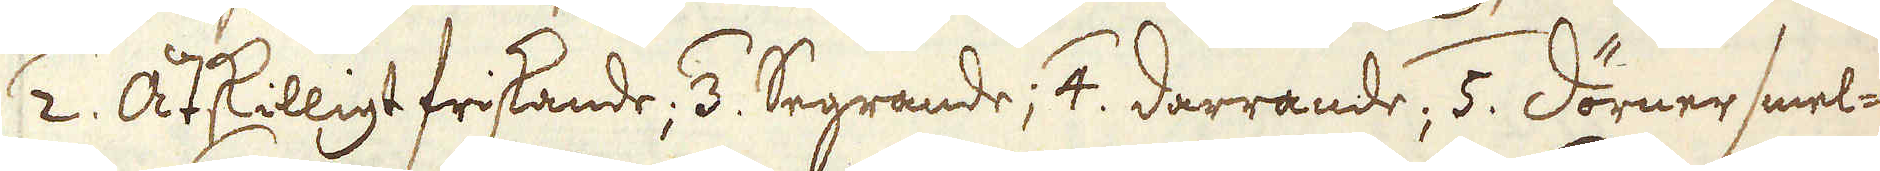2. Åtskilligt friskande; 3. Segrande; 4. darrande, 5. dörner smel-
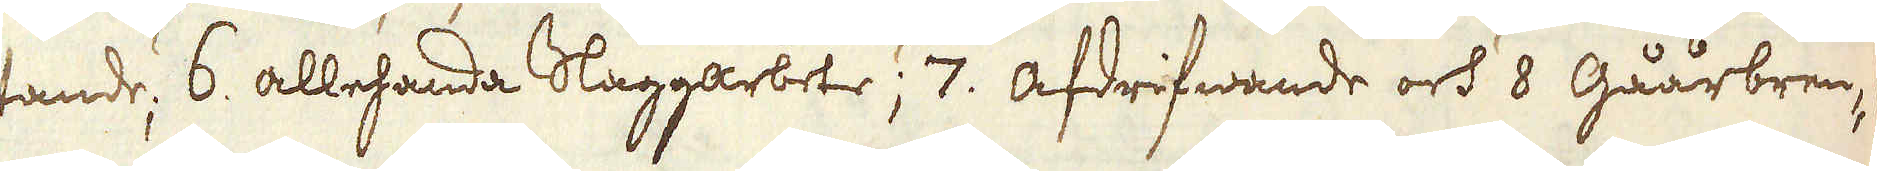tande; 6 allehanda Slaggarbete; 7: afdrifwande och 8 Gåårbren-
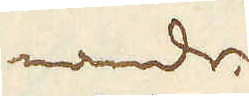nande.
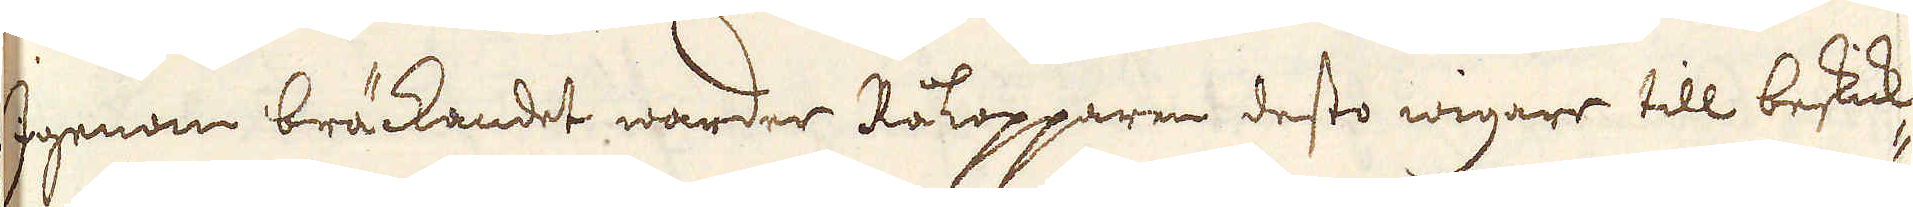Igenom bräckandet warder Råkopparen desto wigare till beskick-
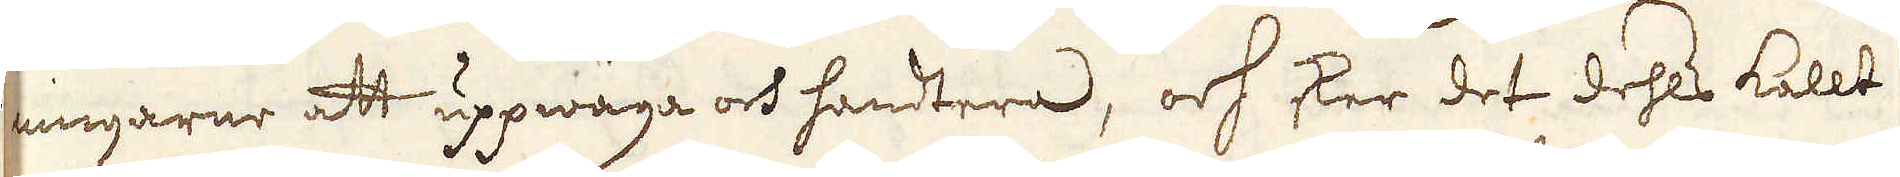ningarne att uppwäga och handtera, och sker det dehls kallt
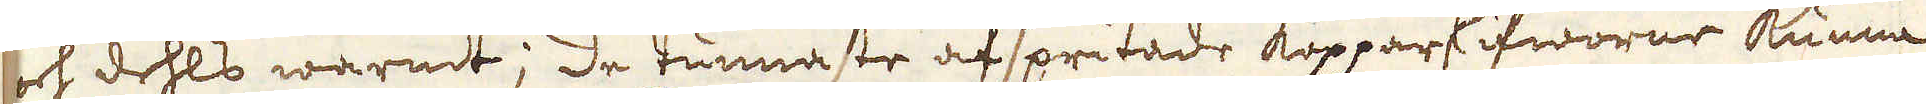och dehls warmt; de tunnaste afspritade kopparskifworne kunna
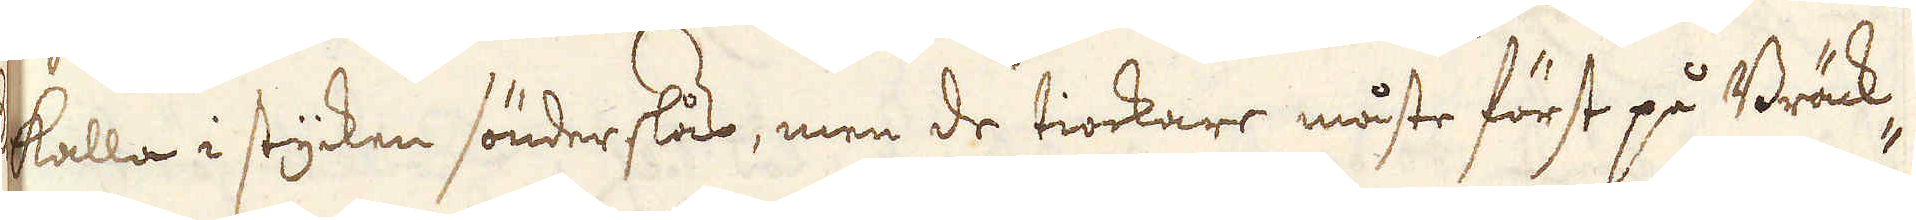kalla i stycken sönderslås, men de tiockare måste först på Bräck-
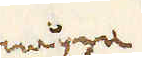några
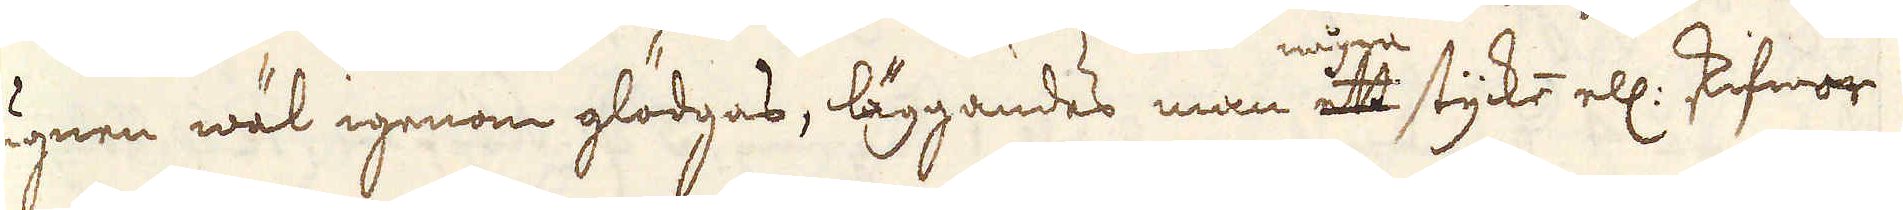ugnen wäl igenom glödgas, läggandes man ett stycke ell: skifwor
